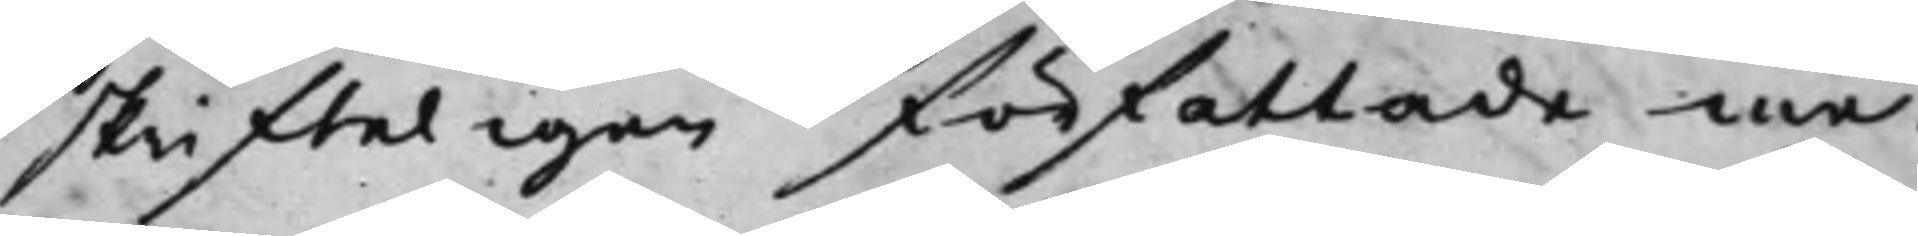skrifteligen författade me¬
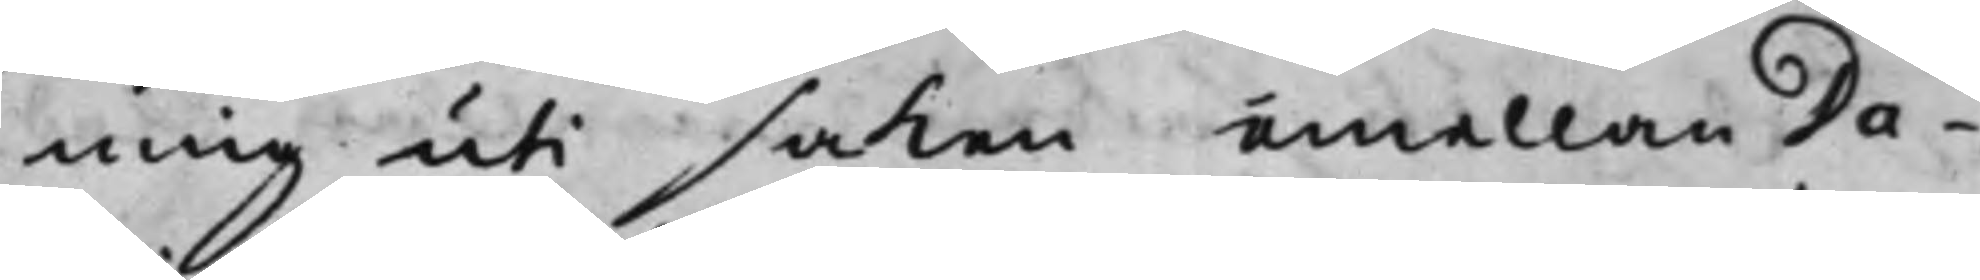ning uti saken emellan Da¬
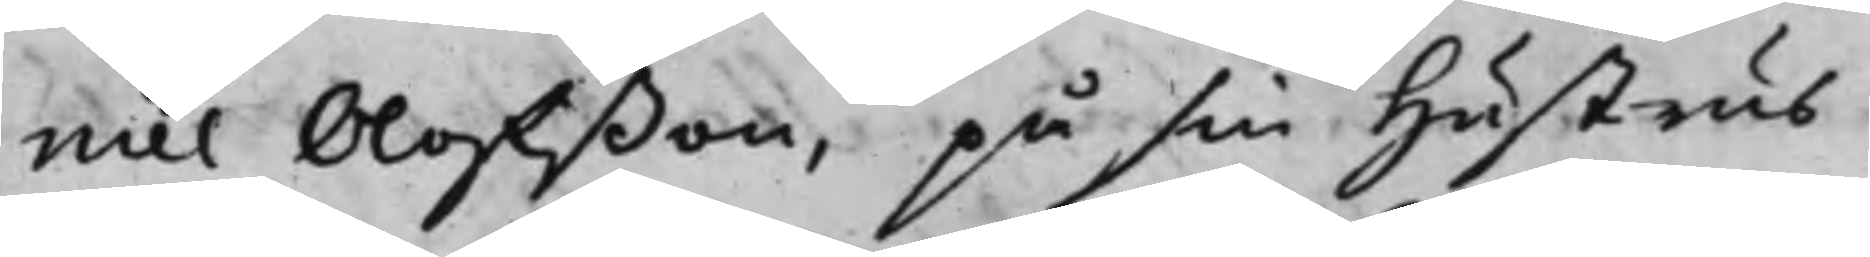niel Olofßon, på sin Hustrus
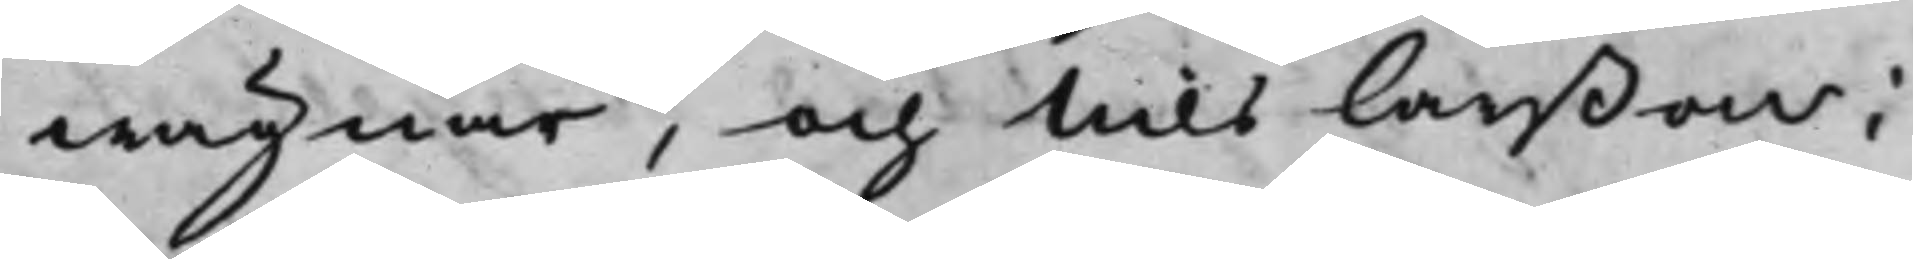wägnar, och Nils Larßon i
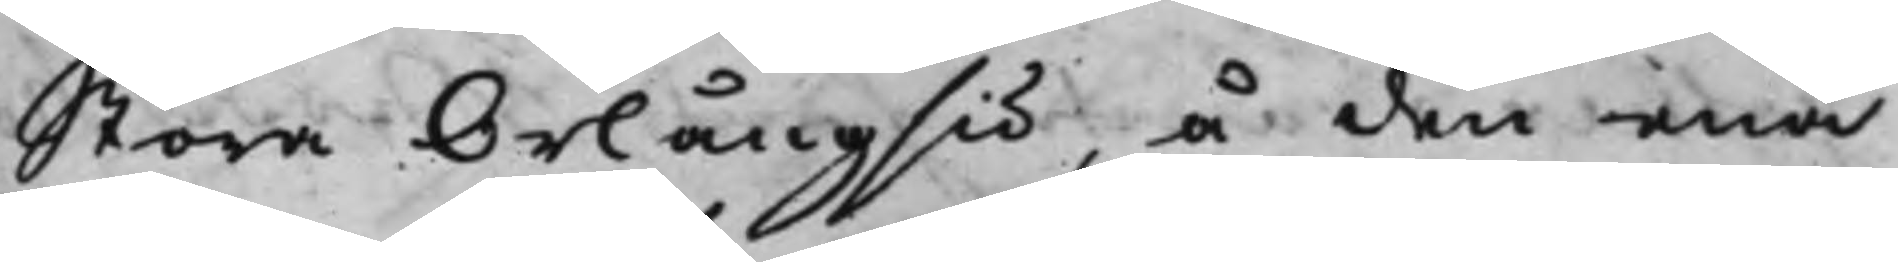Stora Orlångsiö, å den ena
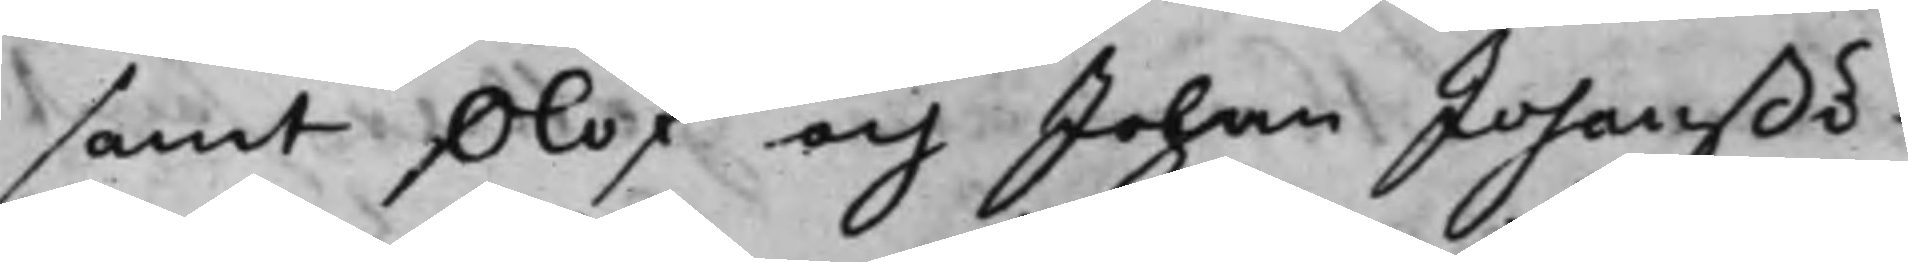samt Olof och Johan Johanßö¬
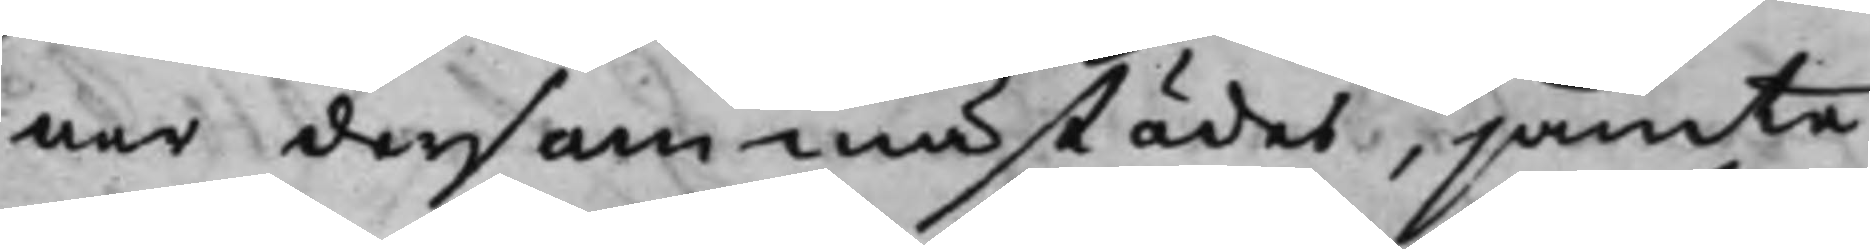ner dersammastädes, jämte
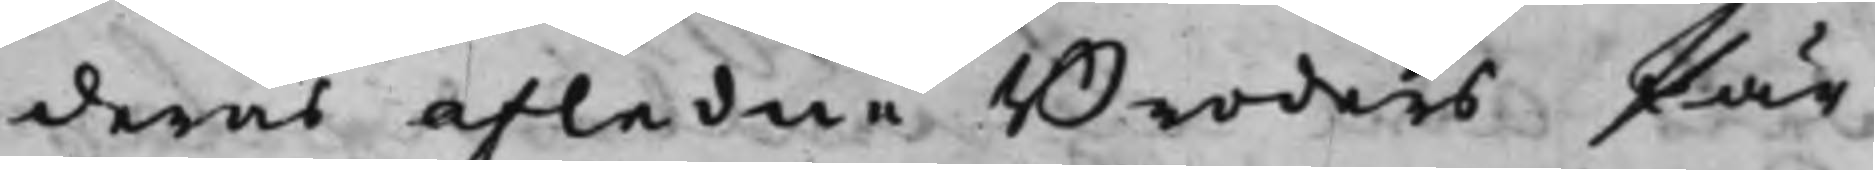deras afledne Broders Pär
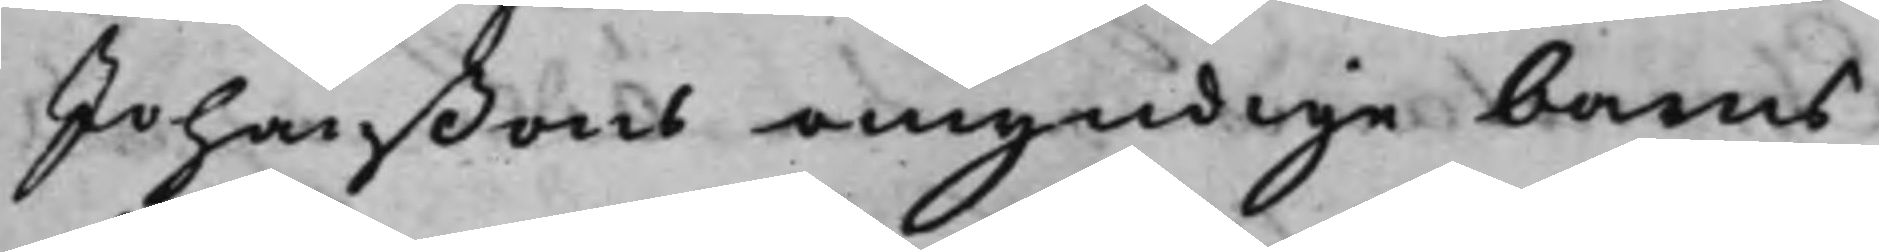Johanßons omyndige barns
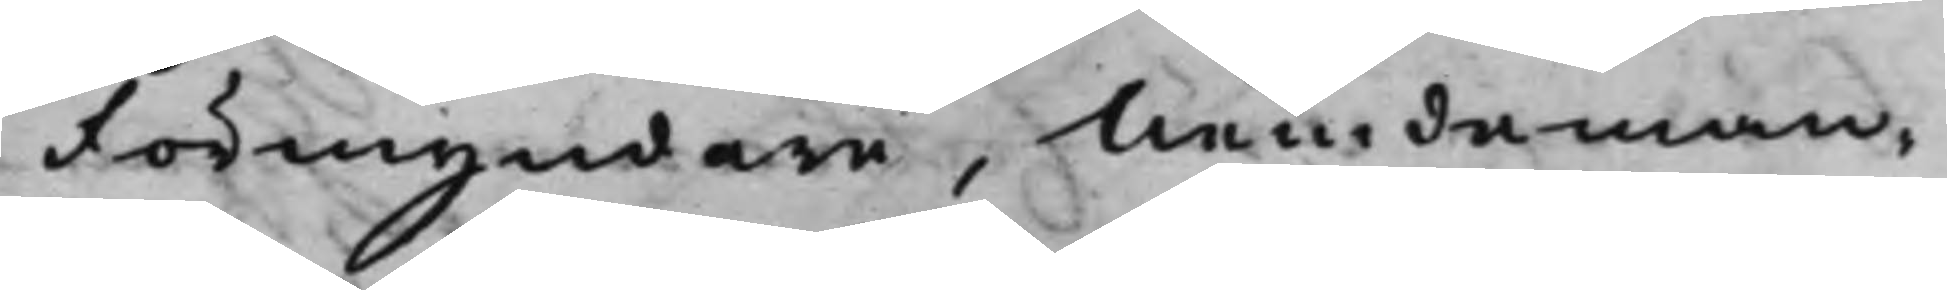Förmyndare, Nemdeman¬
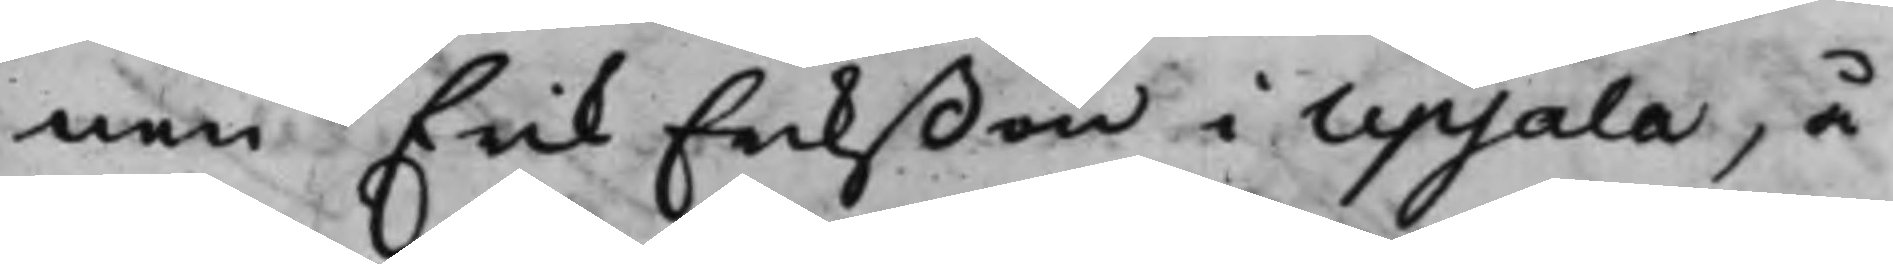nen Erik Erikßon i Upsala, å
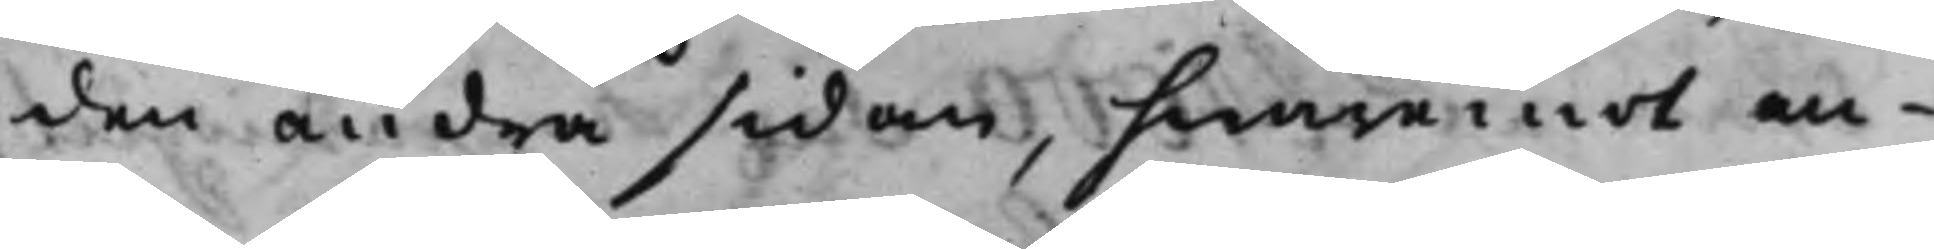den andra sidan, hwaremot an¬
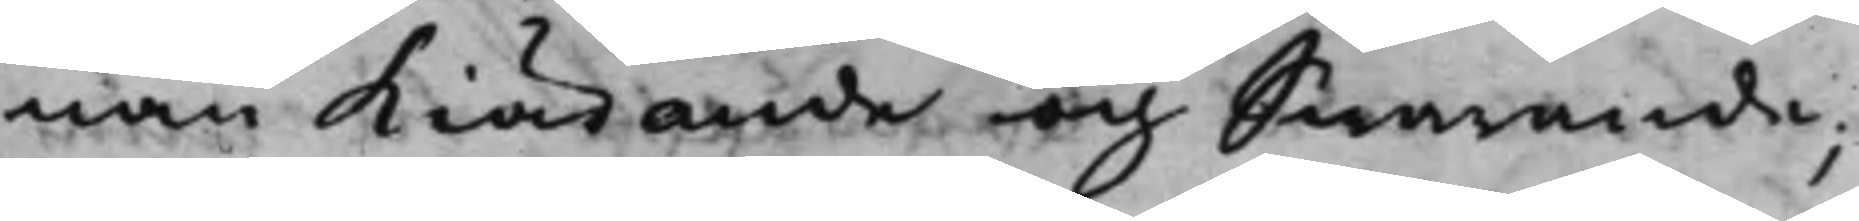nan Kiärande och Swarande;
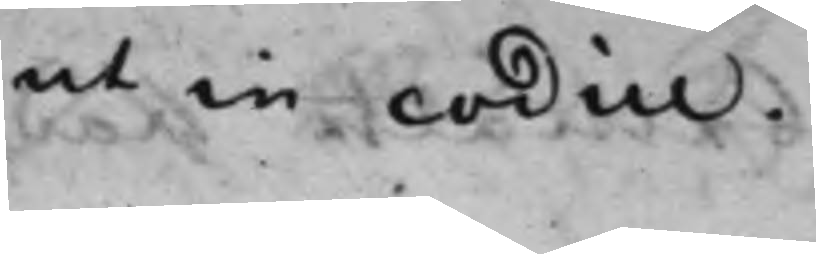ut in codice.
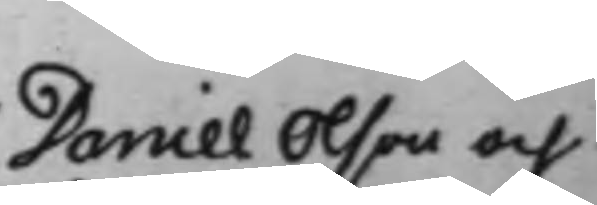Daniel Olson och
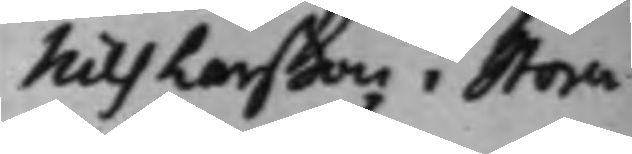Nils Larßon i Stora
